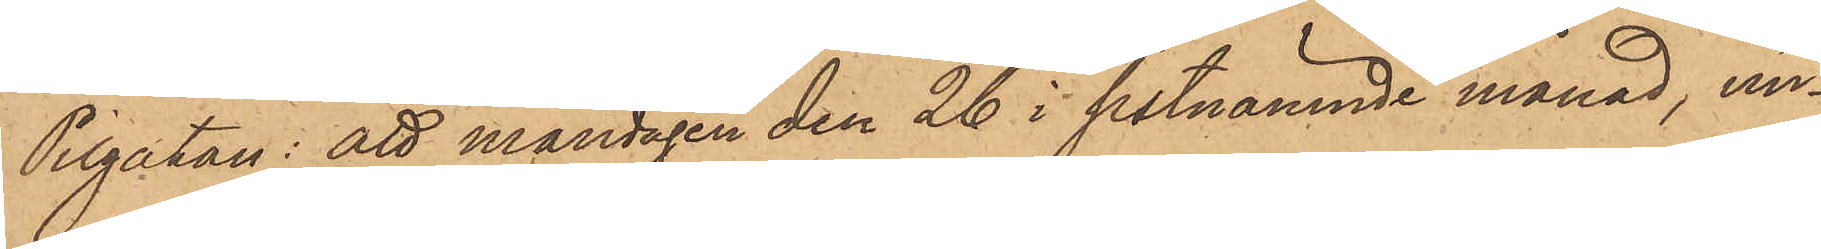Pilgatan: att måndagen den 26 i sistnämnde månad, un¬
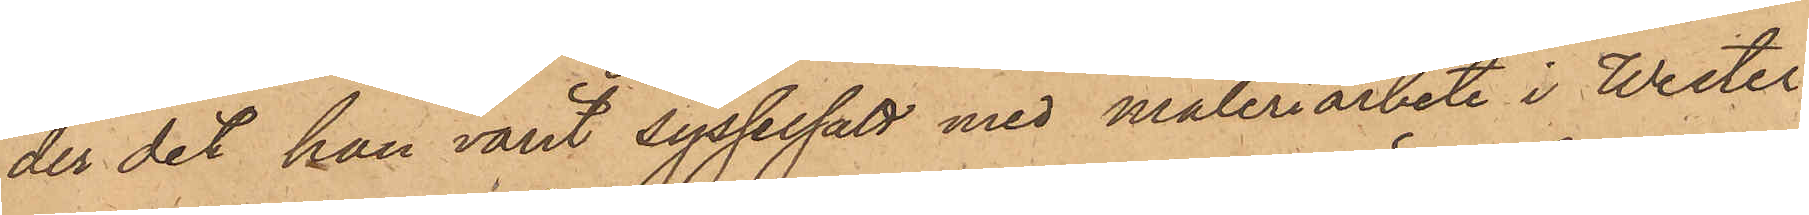der det han varit sysselsatt med måleriarbete i Wester¬
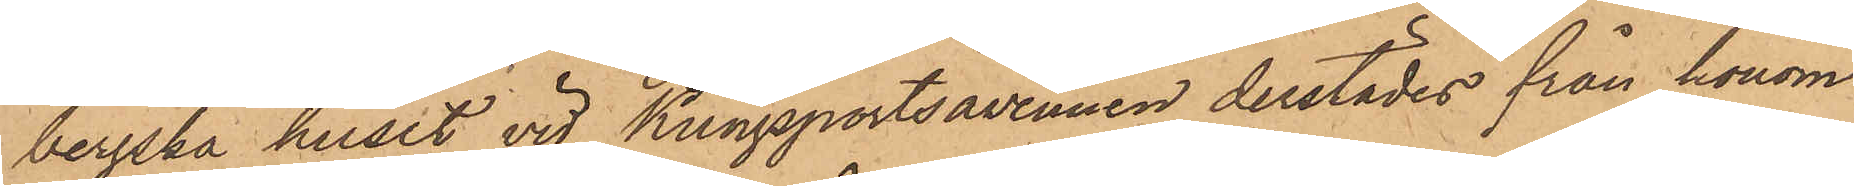bergska huset vid Kungsportsavenuen derstädes från honom
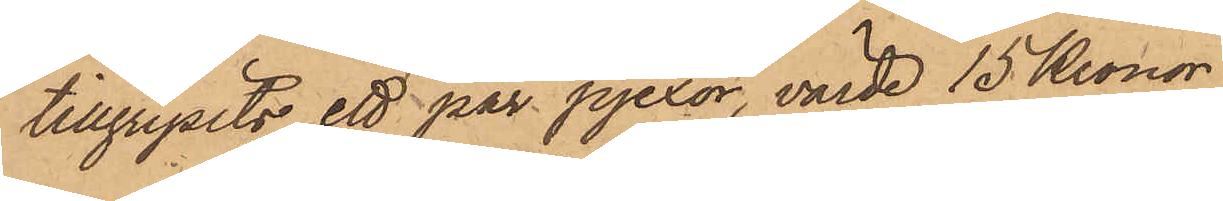tillgripits ett par pjexor, värde 15 Kronor
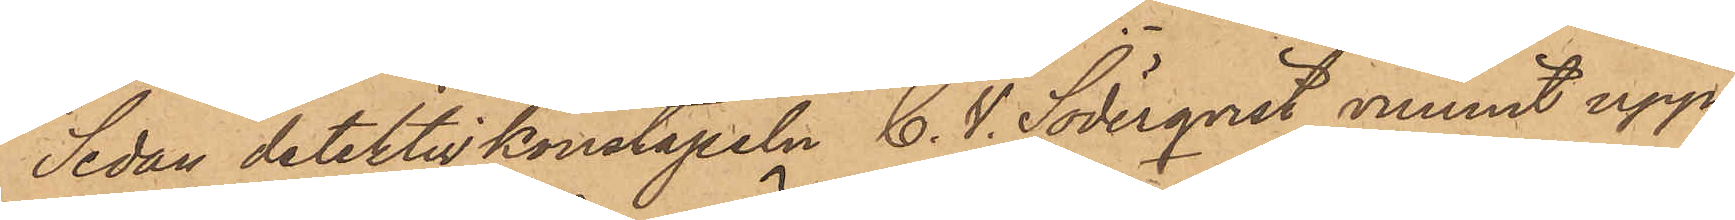Sedan detektivkonstapeln C. V. Söderqvist vunnit upp¬
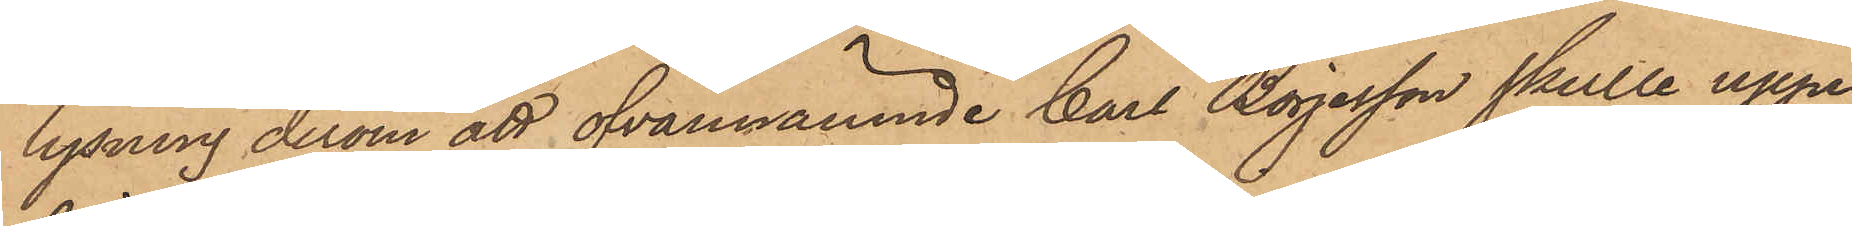lysning derom att ofvannämnde Carl Börjesson skulle uppe¬
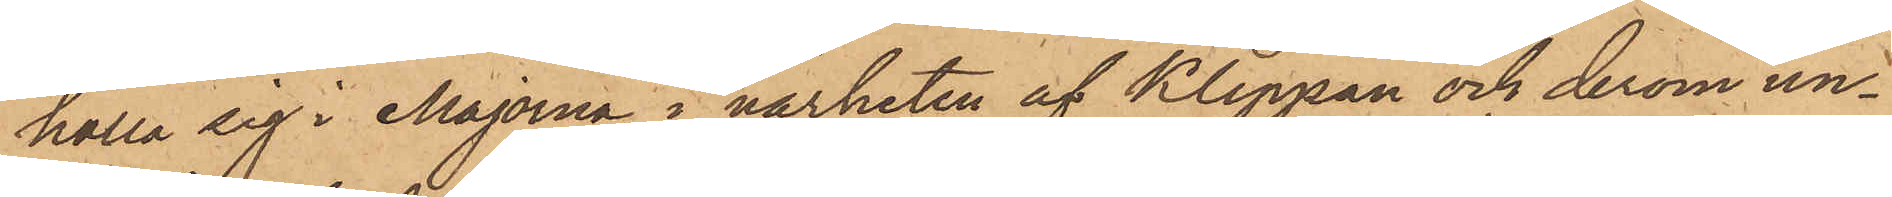hålla sig i Majorna i närheten af Klippan och derom un¬
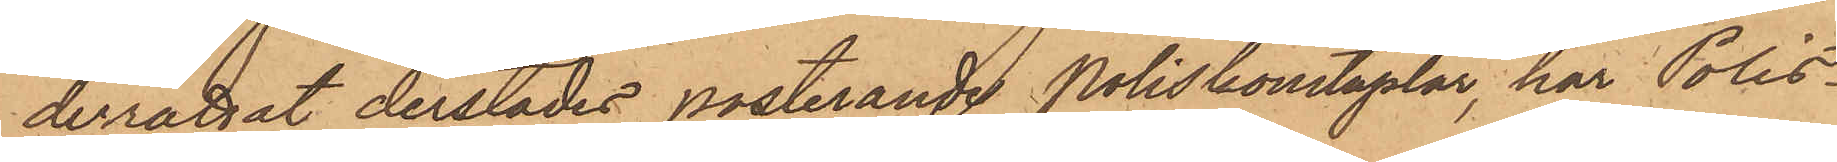derrättat derstädes posterande Poliskonstaplar, har Polis¬
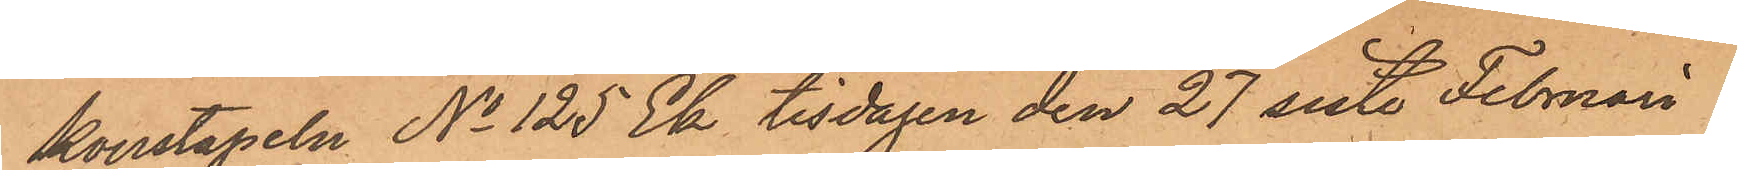konstapeln No 125 Ek tisdagen den 27 sistl. Februari an¬
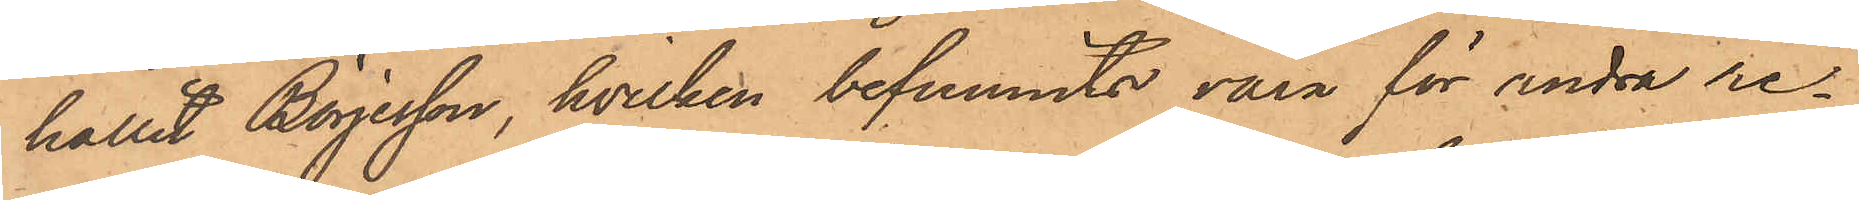hållit Börjesson, hvilken befunnits vara för andra re¬
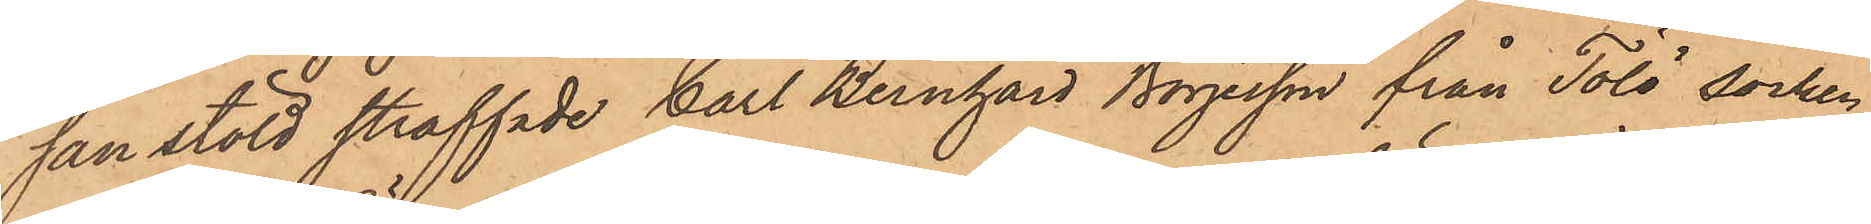san stöld straffade Carl Bernhard Börjesson från Tölö socken
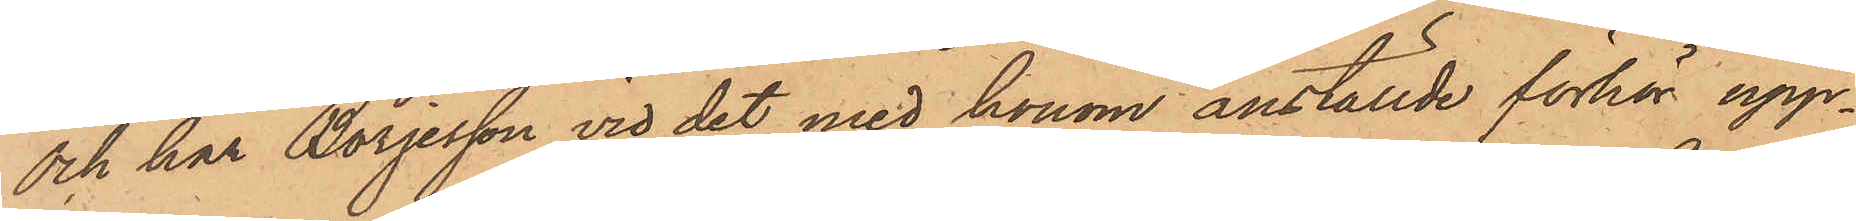och har Börjesson vid det med honom anställde förhör upp¬
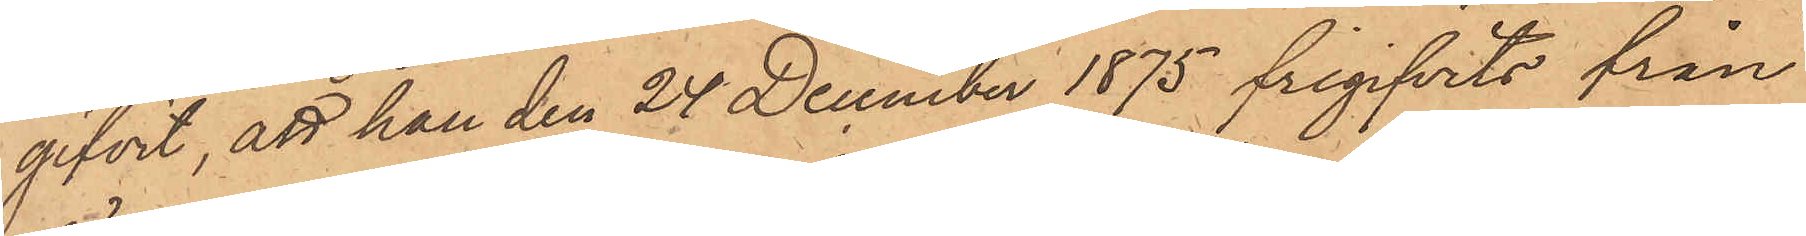gifvit, att han den 24 December 1875 frigifvits från
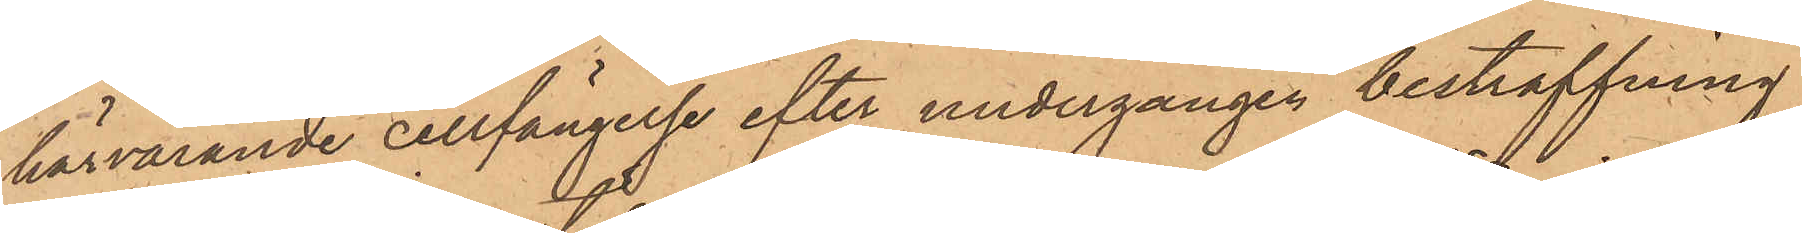härvarande cellfängelse efter undergången bestraffning
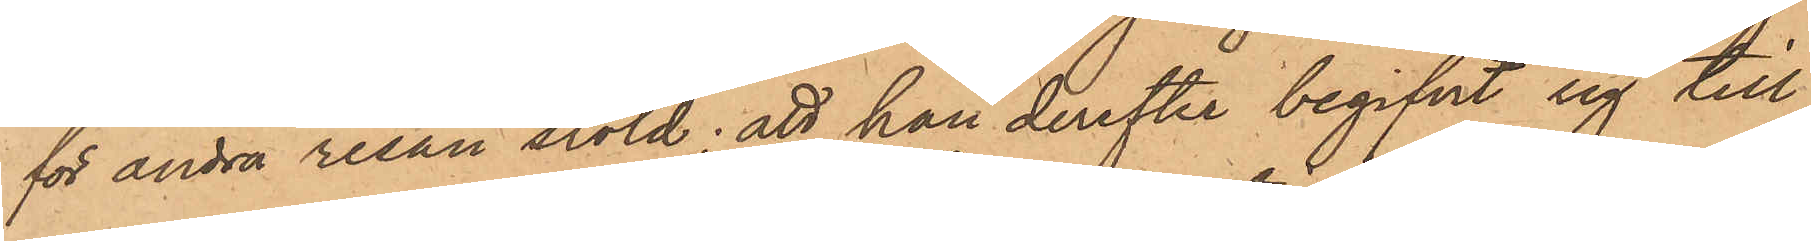för andra resan stöld; att han derefter begifvit sig till
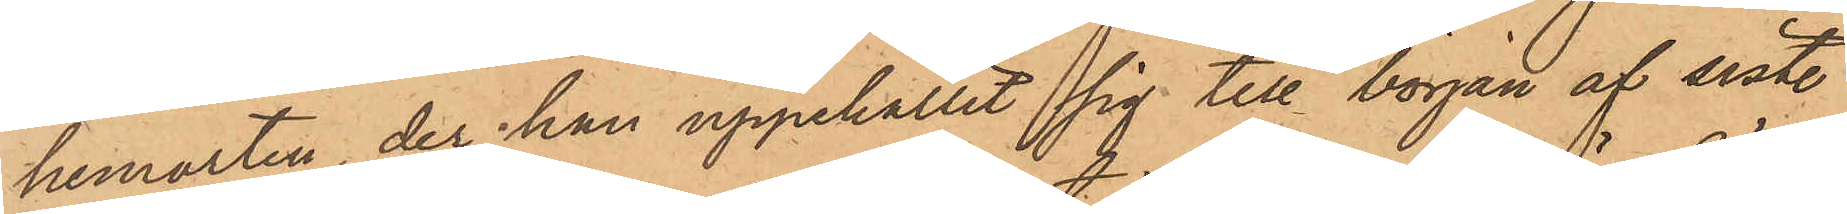hemorten, der han uppehållit sig till början af sistl.
